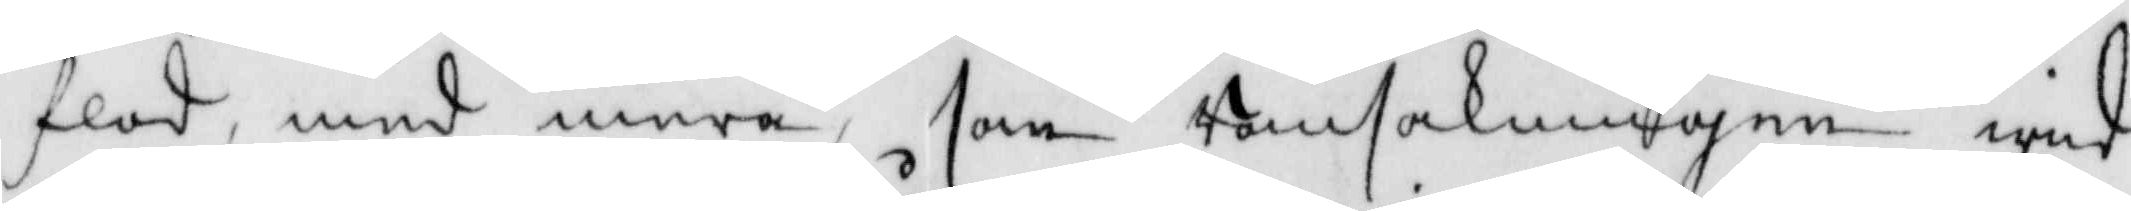flod, med mera, som ransakningen wid¬
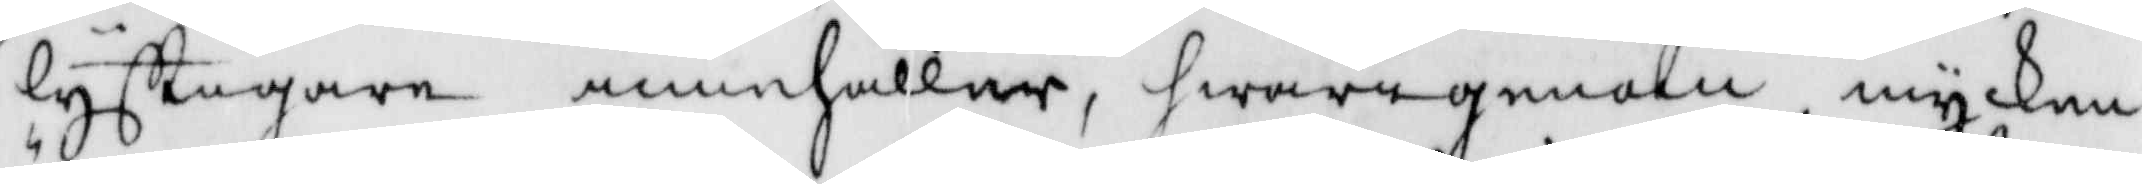lyfftigare innehåller, hwarigenom mycken
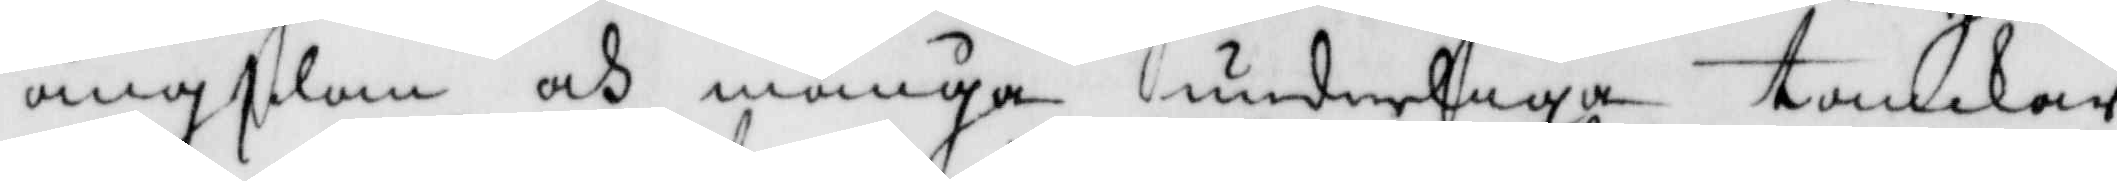ängslan och många underliga tanckar
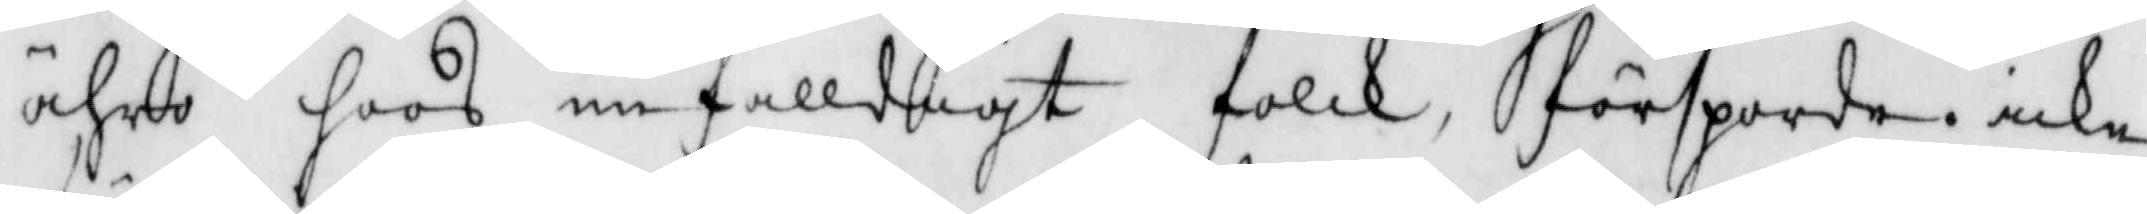ähro hoos enfalldigt folck, försporda icke
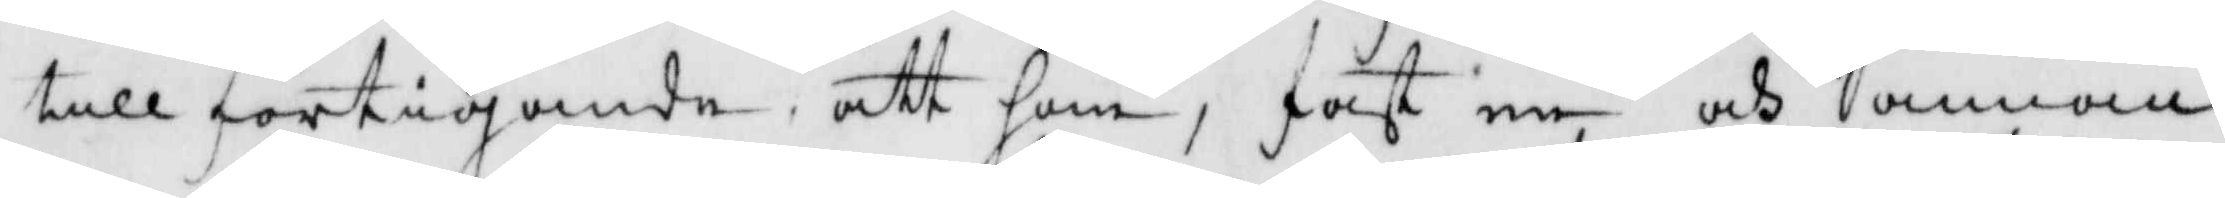till förtigande, att han, fast en och annan
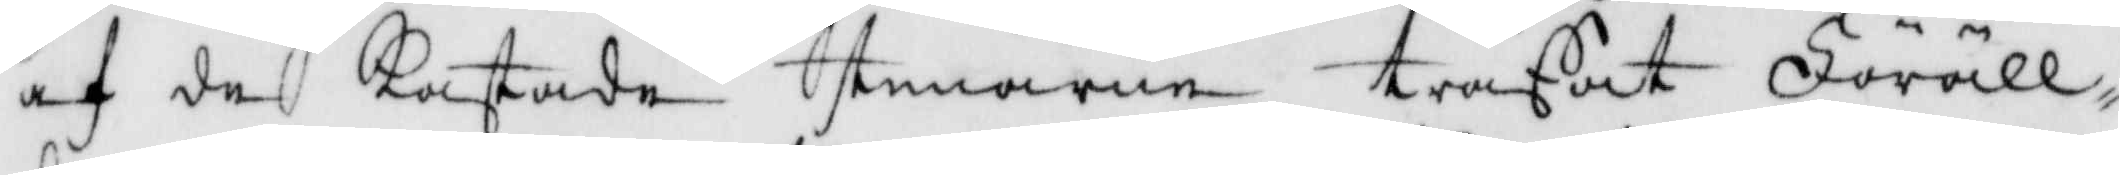af de kastade stenarne träffat Föräll¬
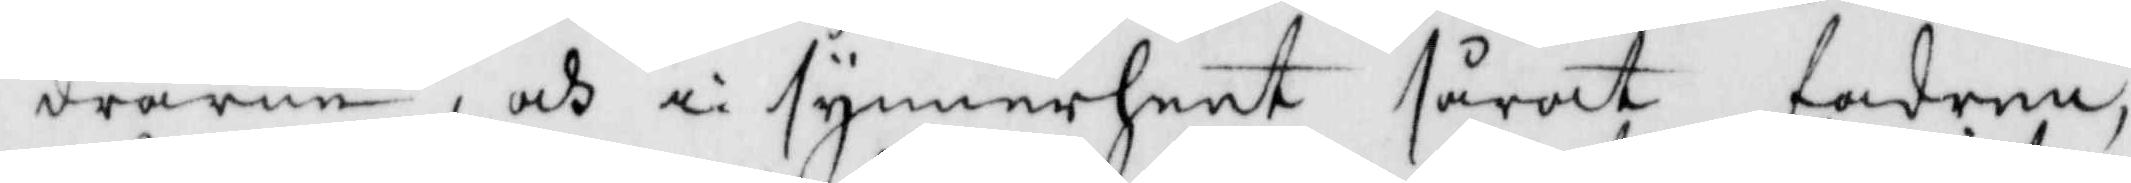drarne och i synnerheet sårat fadren
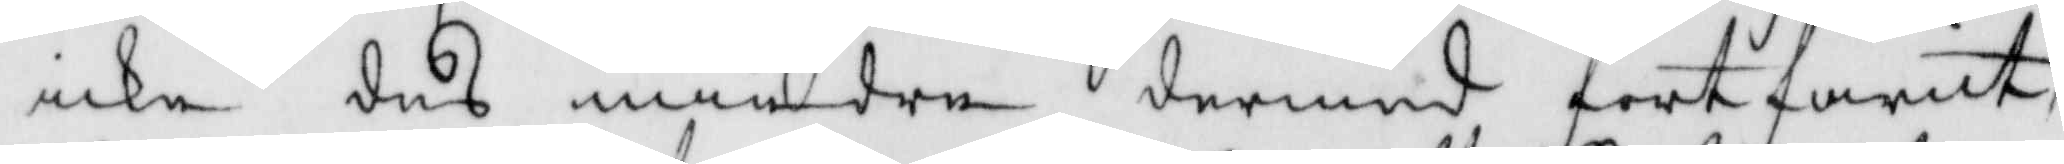icke des mindre dermed fortfarit,
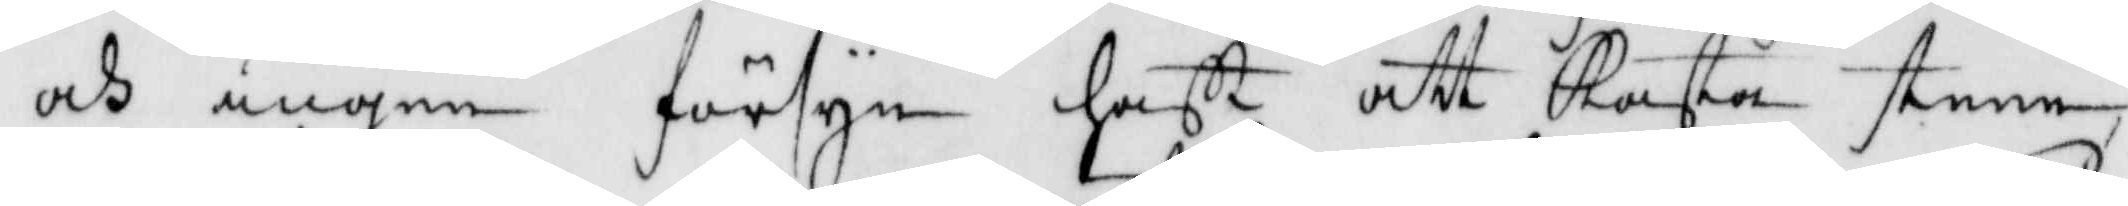och ingen försyn hafft att kasta steen
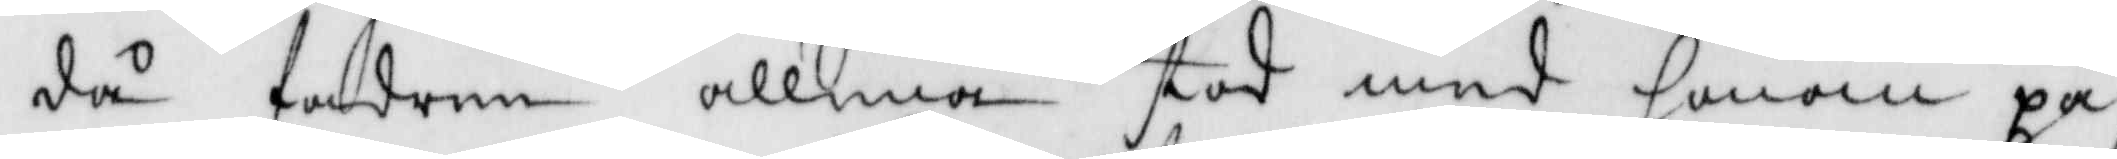då fadren allena stod med honom på
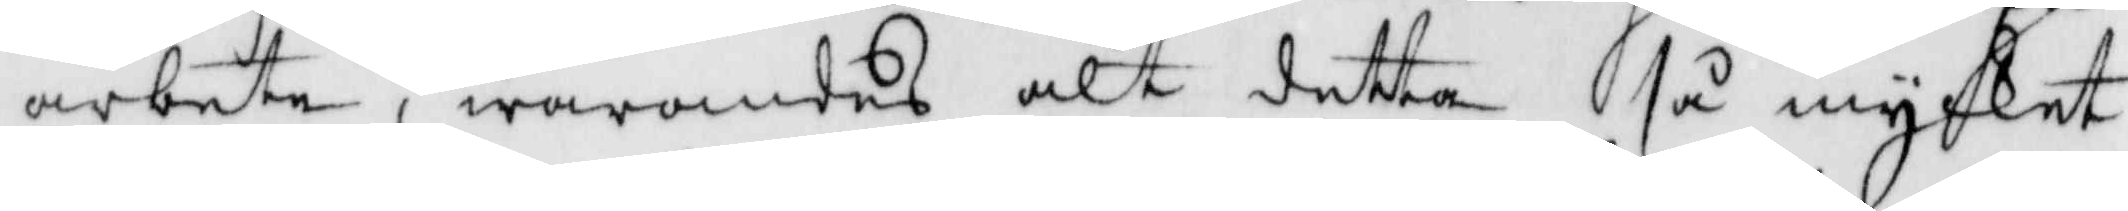arbete, warandes alt detta så mycket
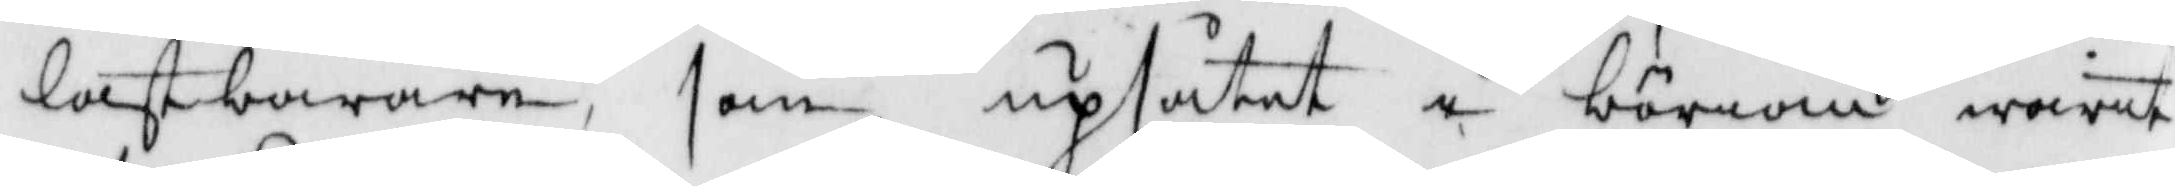lastbarare, som upsåtet i börian warit
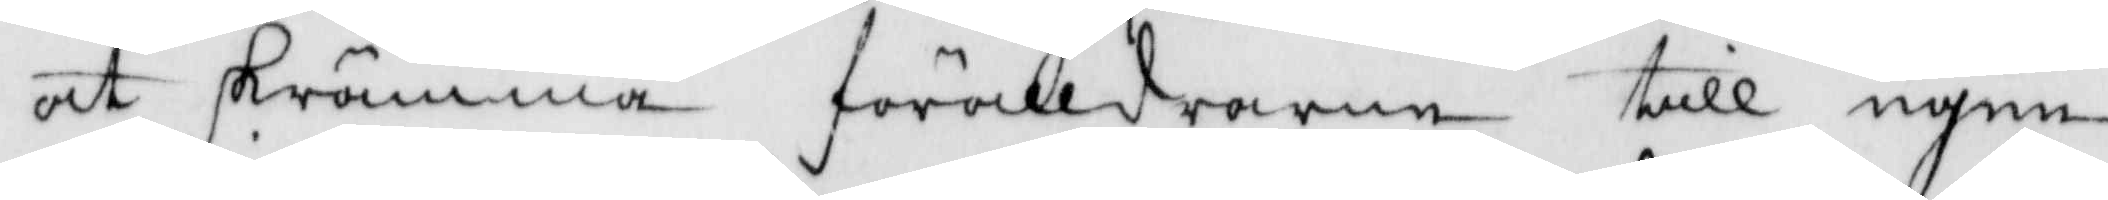att skrämma förälldrarne till egen
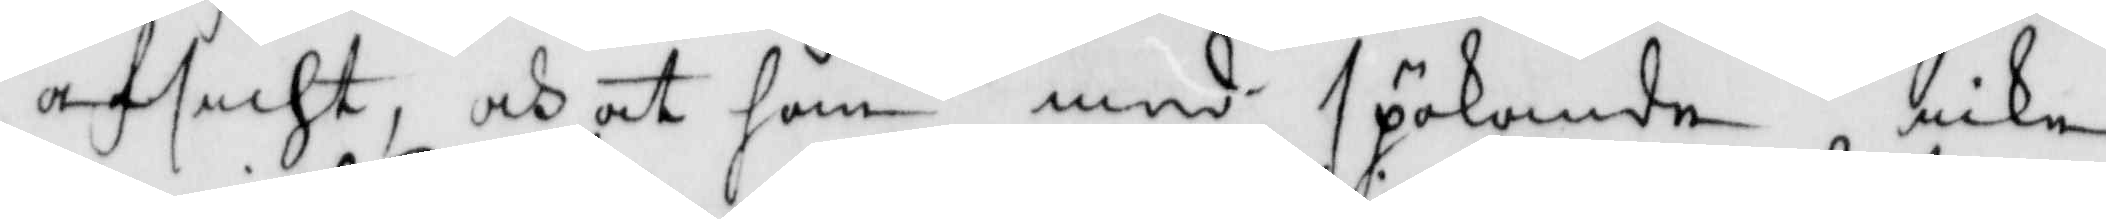afsicht, och at han med spökande icke
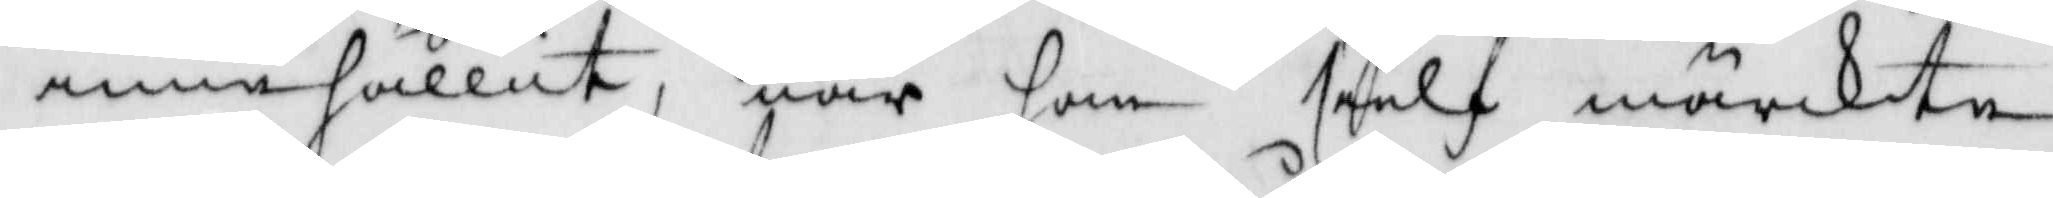innehållit, när han sielf märckte
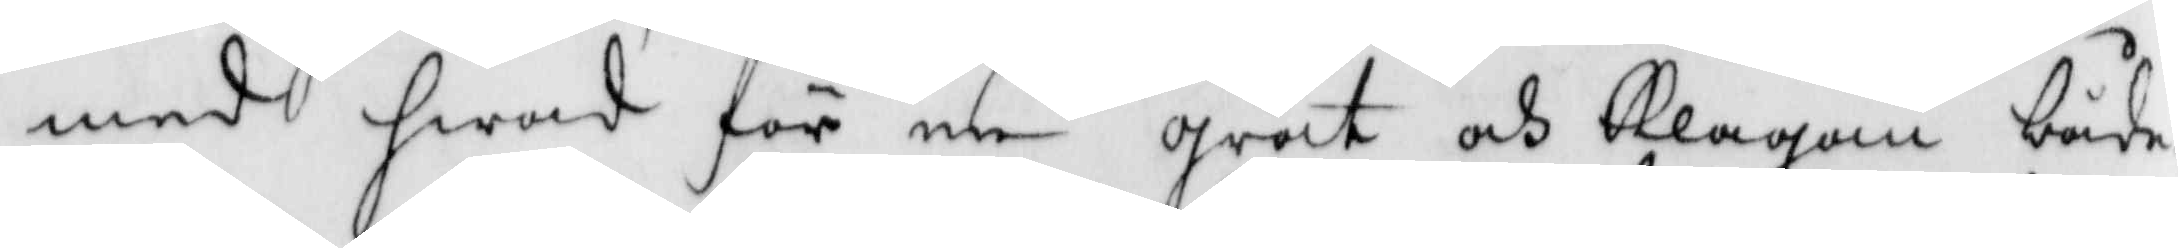med hwad för en gråt och Klagan både
